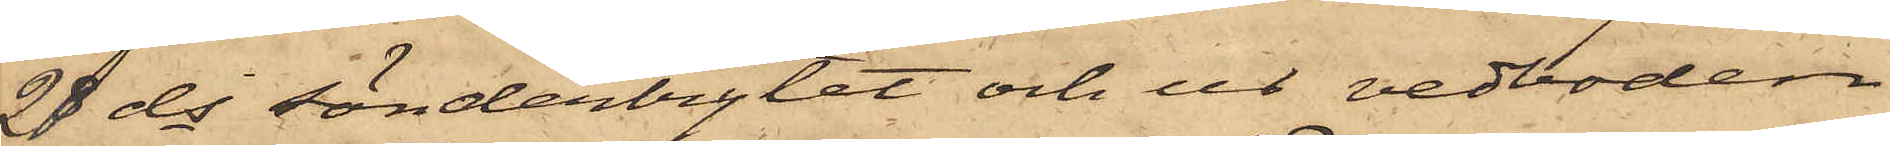28 ds sönderbrytet och ur vedboden
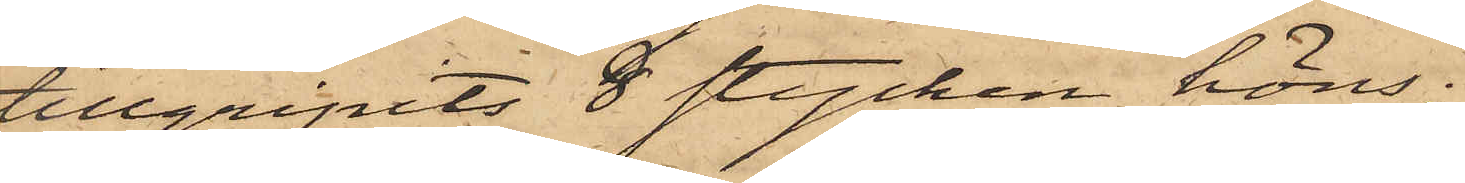tillgripits 8 stycken höns;
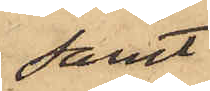samt
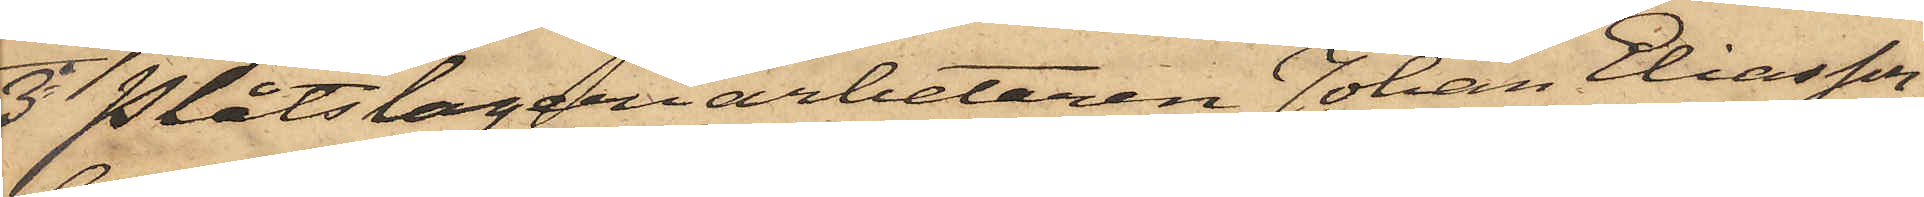3o Plåtslageriarbetaren Johan Eliasson,
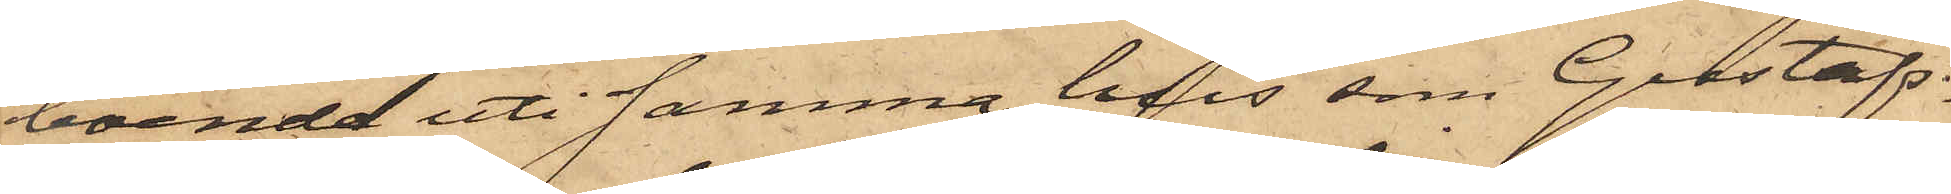boende uti samma hus som Gustafs¬
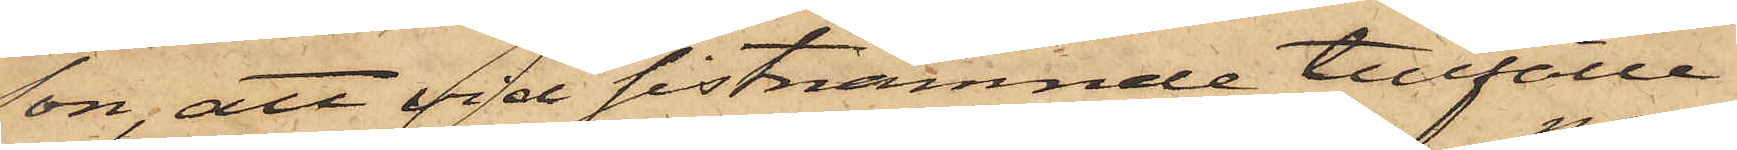son; att vid sistnämnde tillfälle
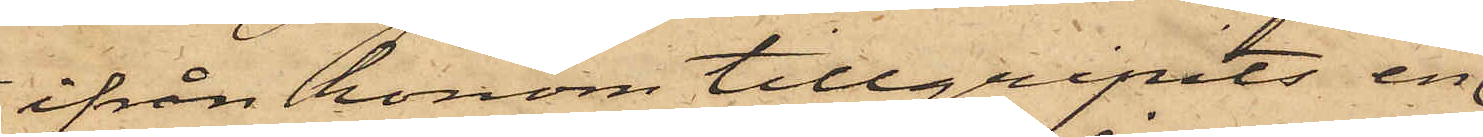ifrån honom tillgripits en
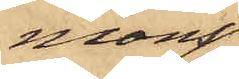mans¬
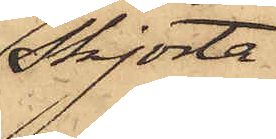skjorta
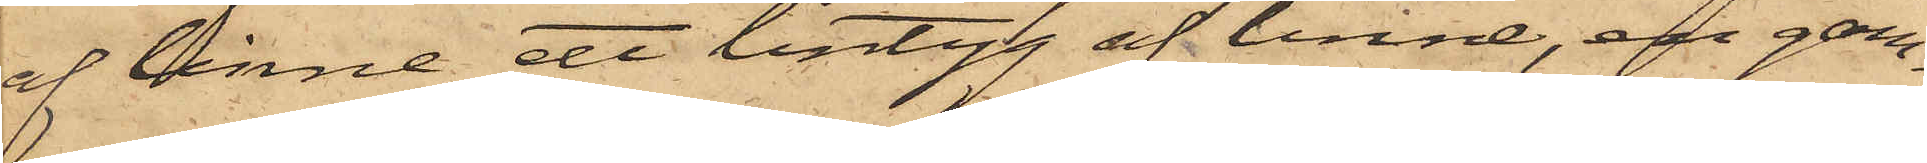af linne, ett lintyg af linne, en gam¬
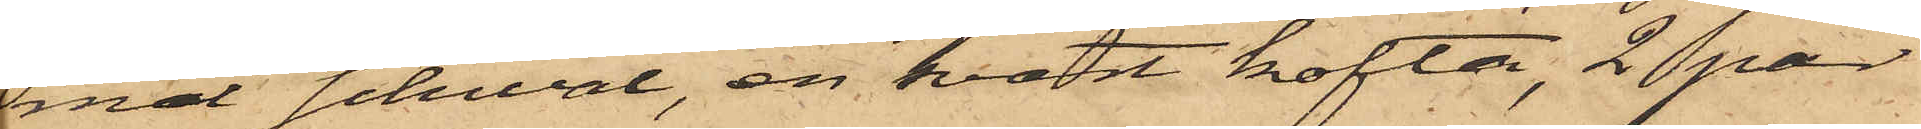mal schwal, en svart kofta, 2 par
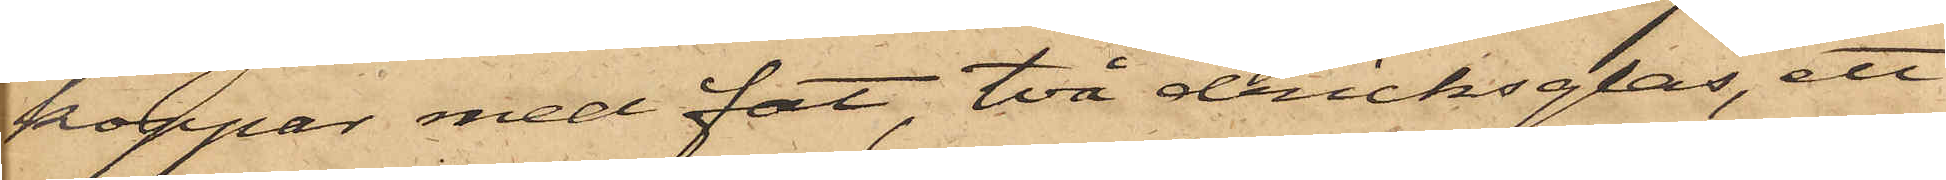koppar med fat, två dricksglas, ett
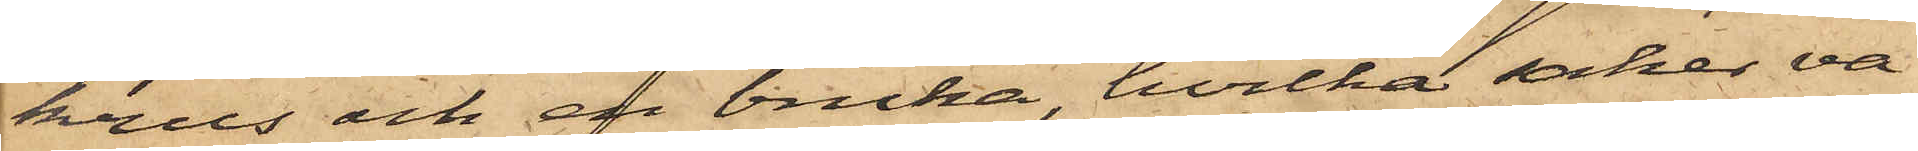krus och en bricka, hvilka saker va¬
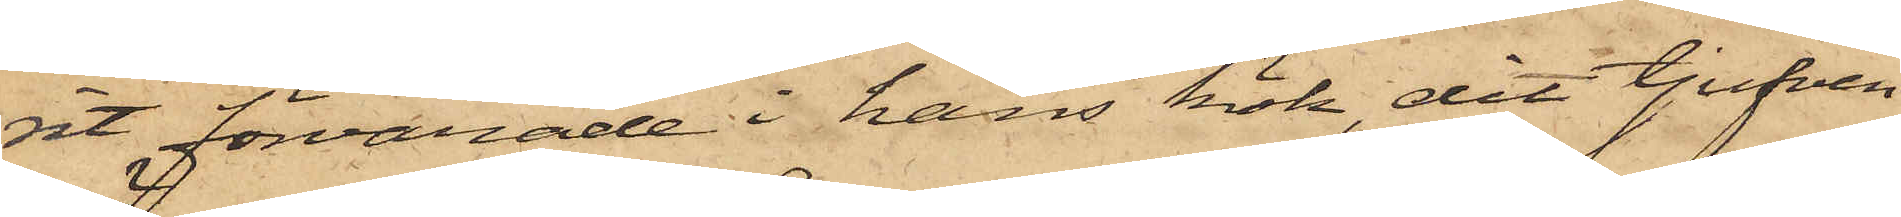rit förvarade i hans kök, dit tjufven
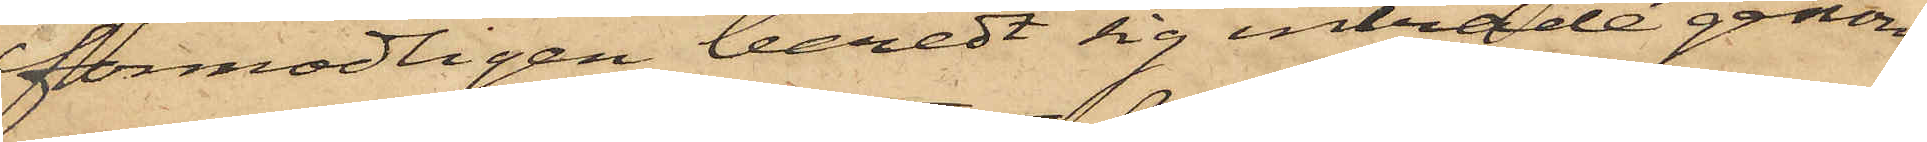förmodligen beredt sig inträde genom
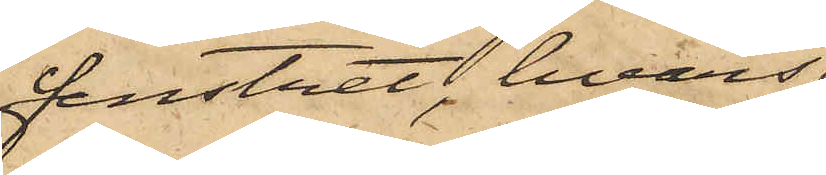fenstret, hvars
